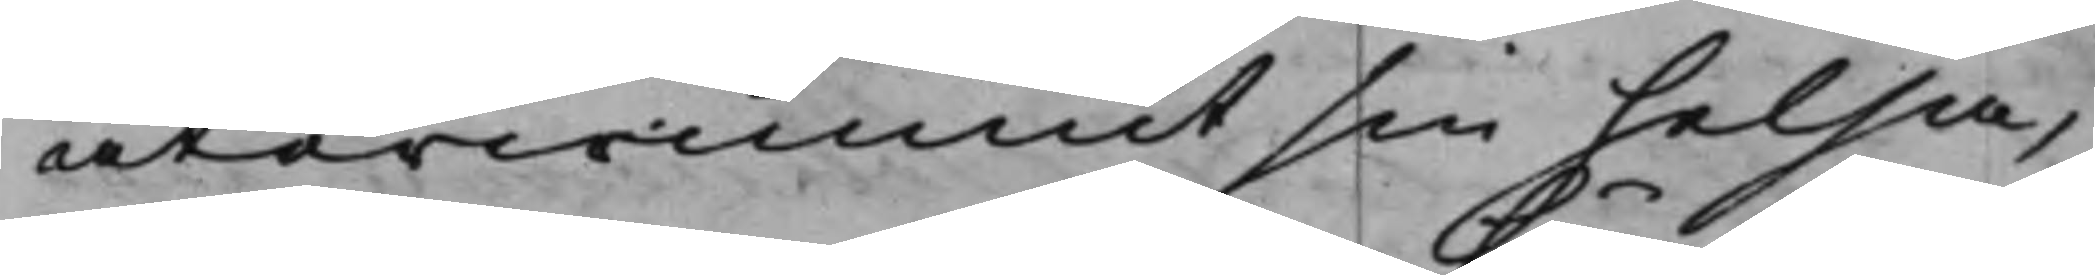återwunnit sin helsa,
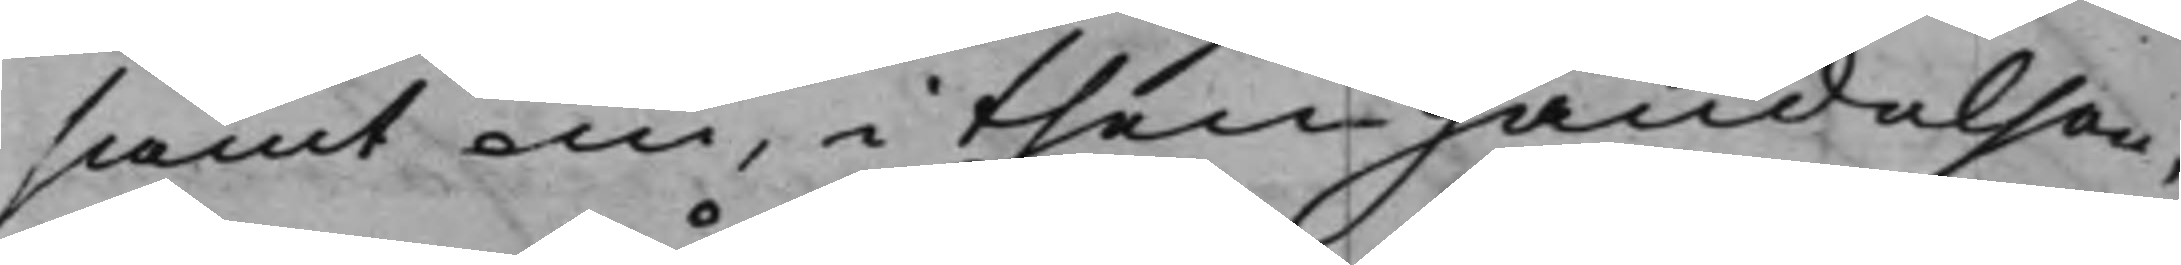samt nu i then händelse¬
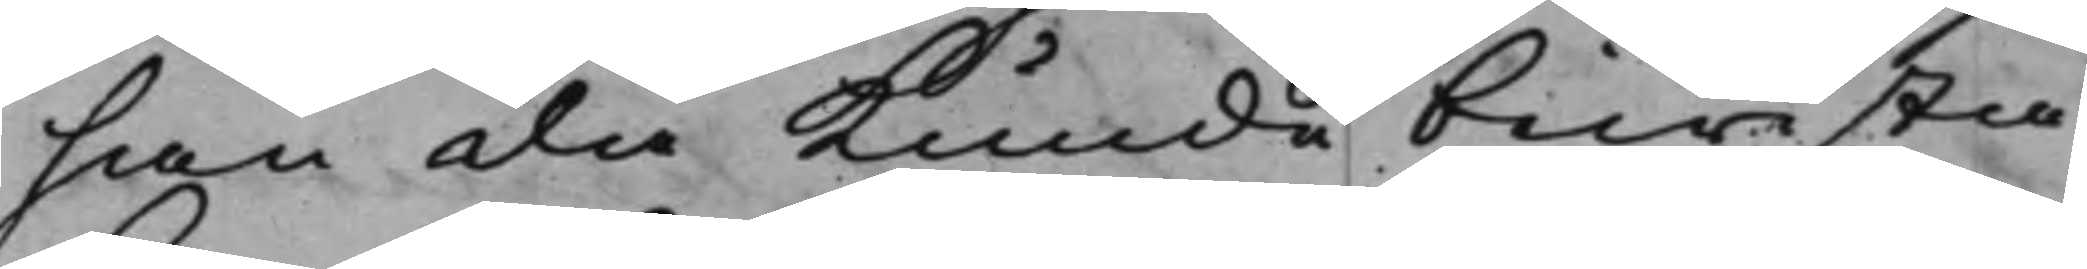han då Kunde bewisti¬
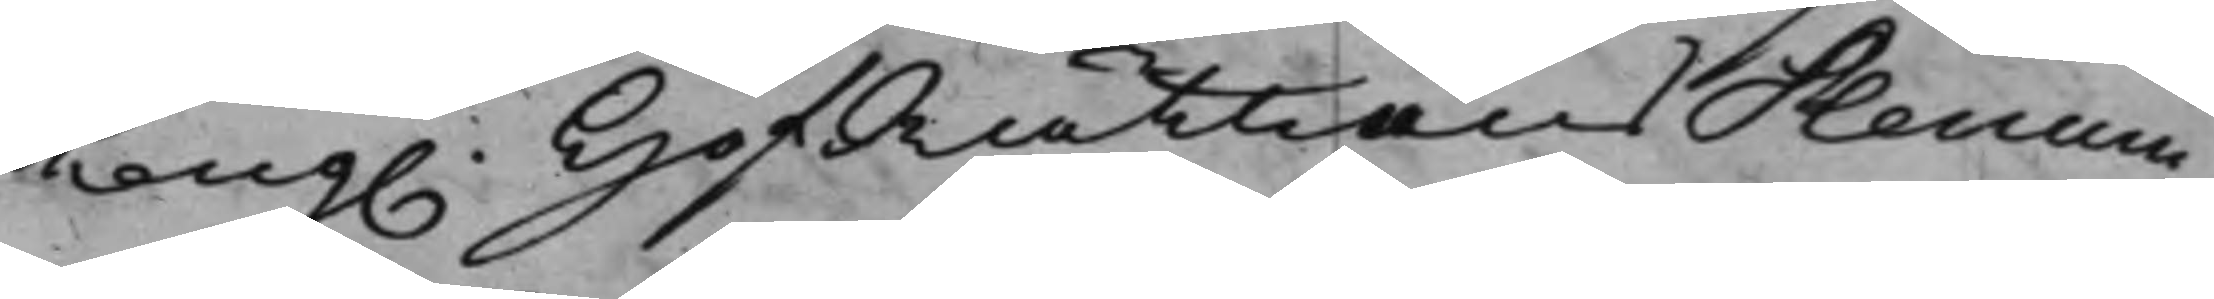Kong. HofRättens Plenum, 
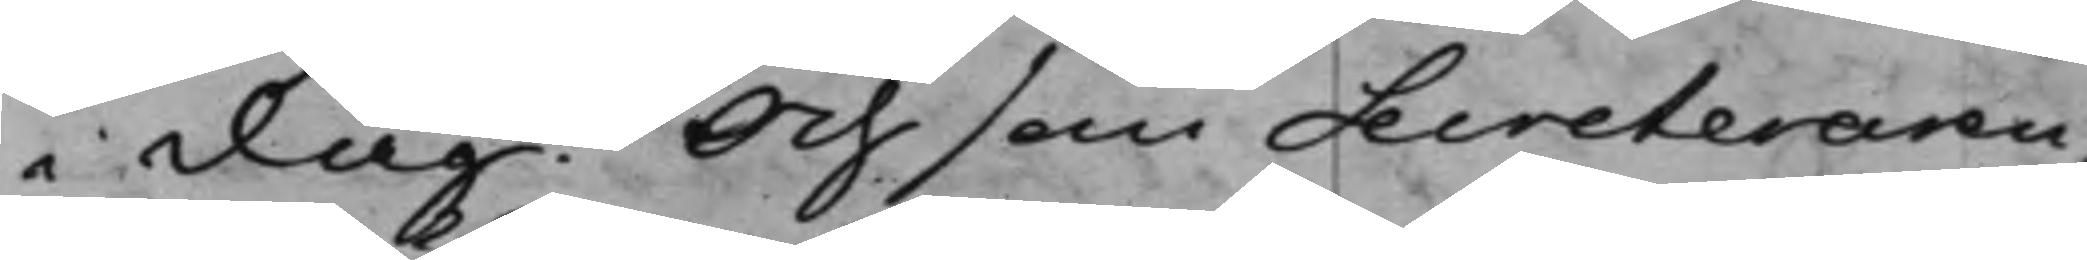i dag. Och som Secreteraren,
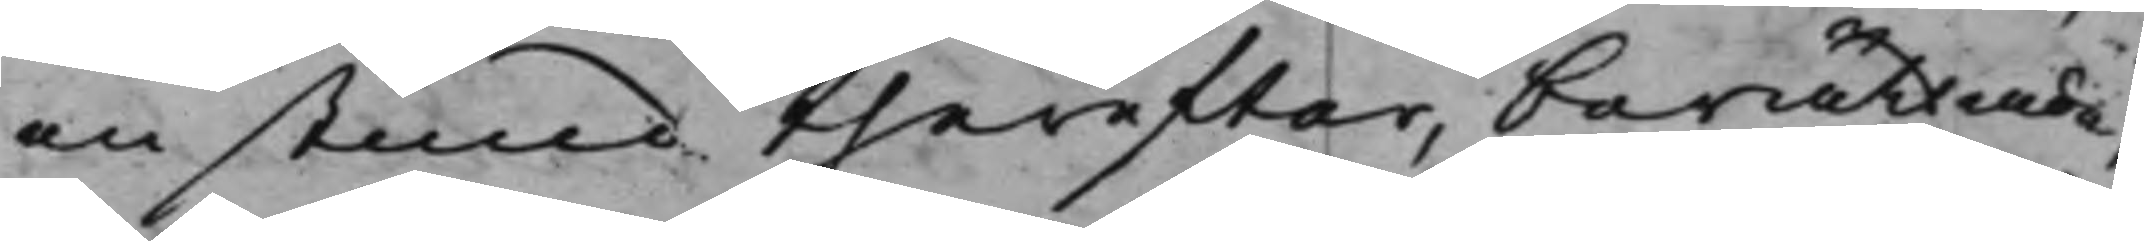en stund therefter, berättade
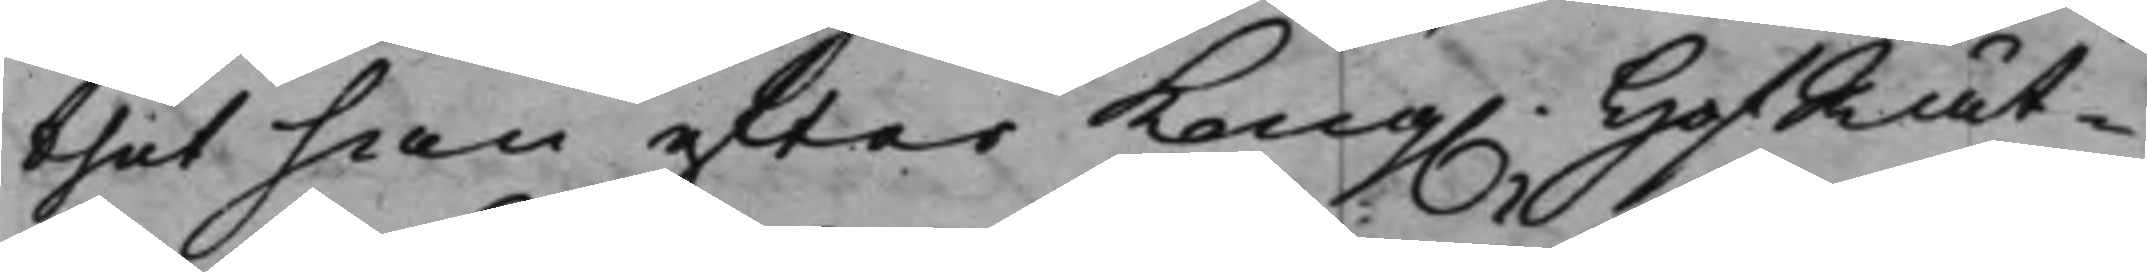thet han efter Kong. HofRät¬ 
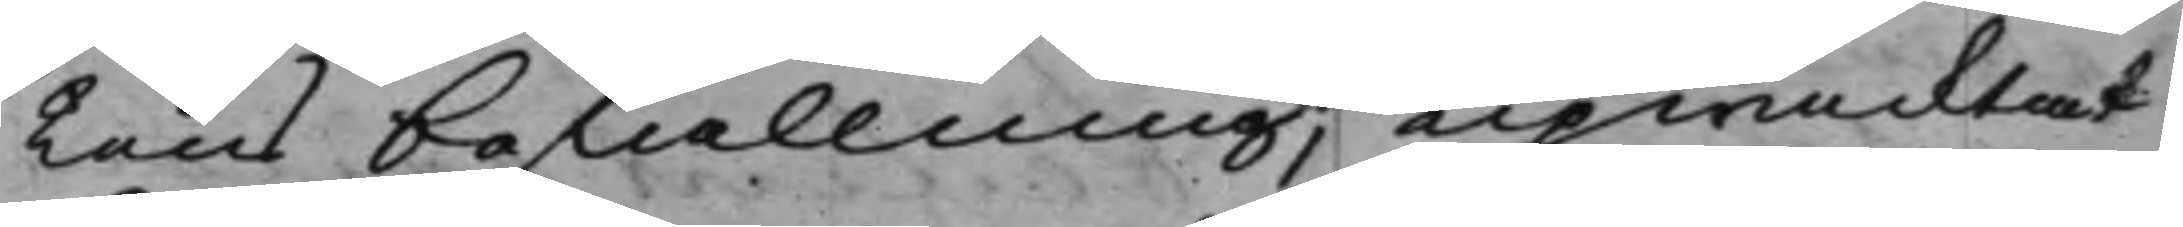lens befallning, upwacktat
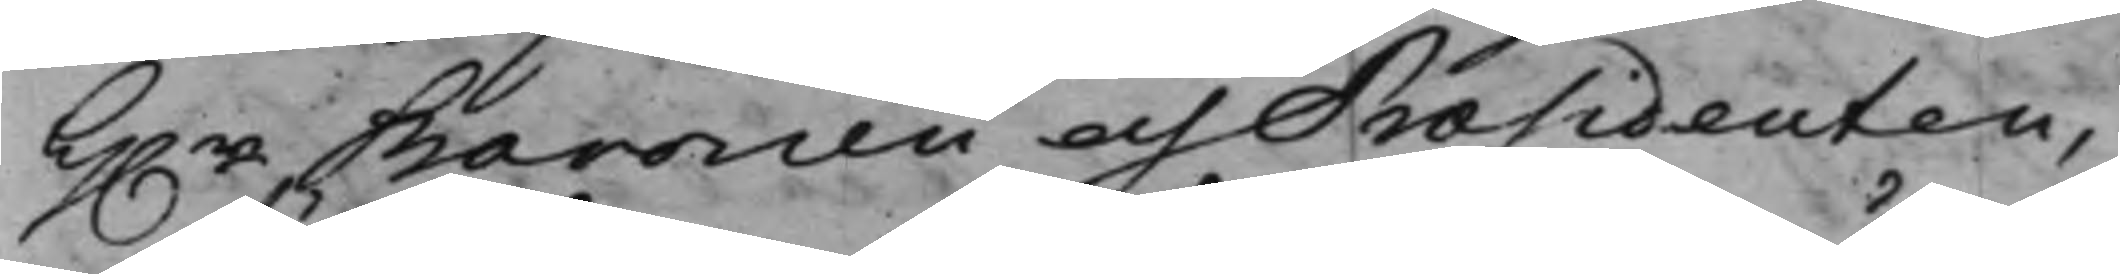h.r Baronen och Præsidenten, 
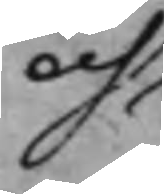och att han af siukdom ännu
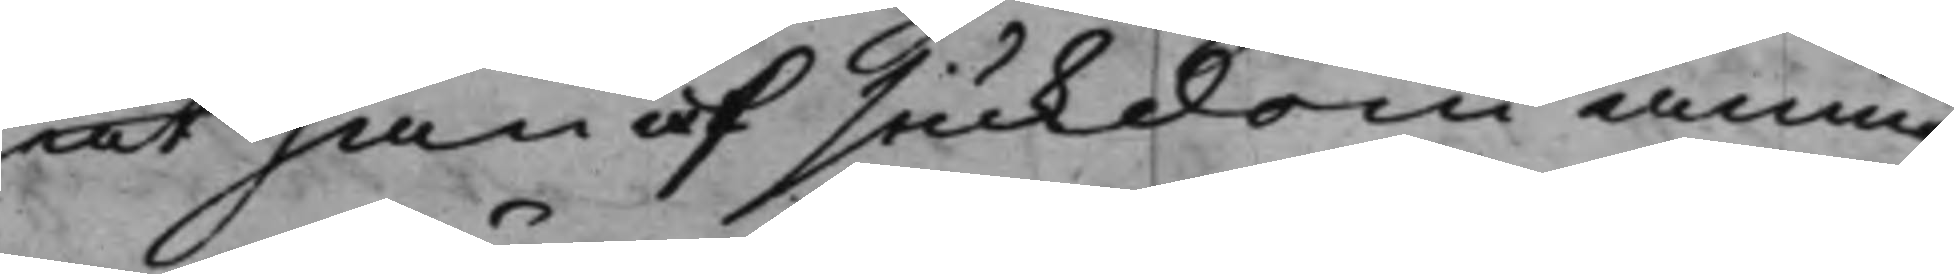och att han af siukdom ännu
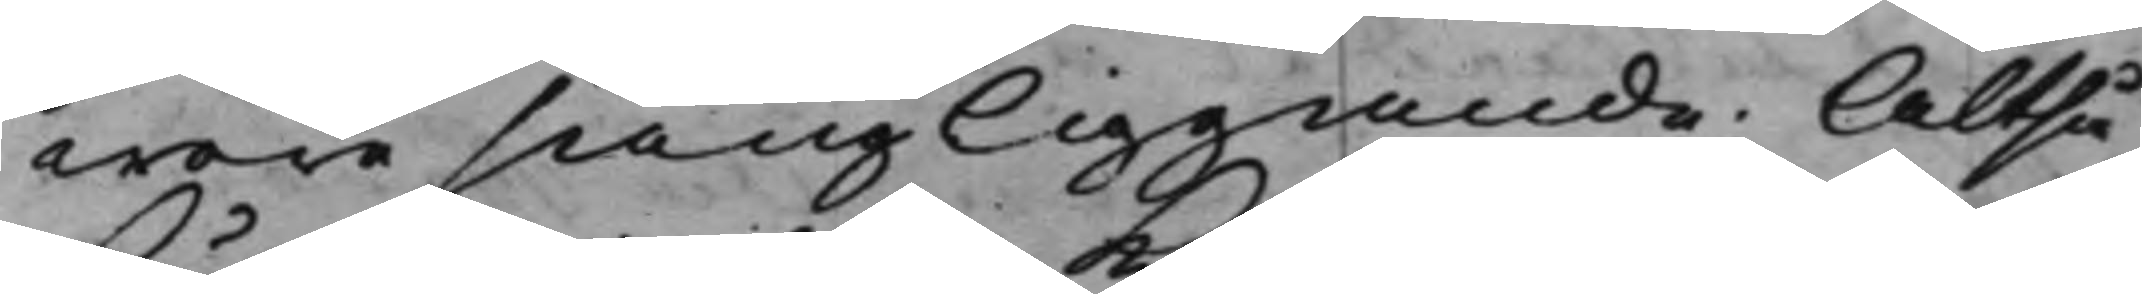wore sängliggande; Altså
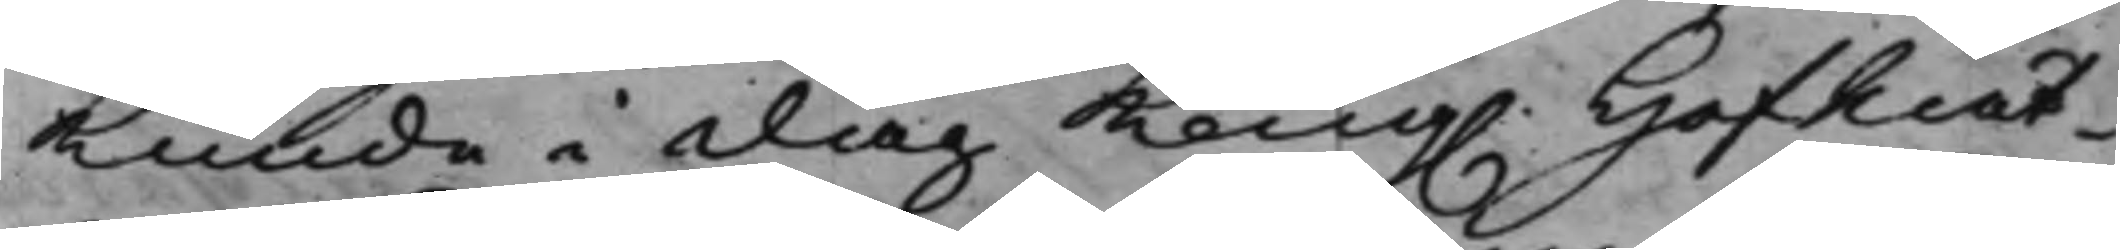kunde i dag Kong. HofRät¬ 
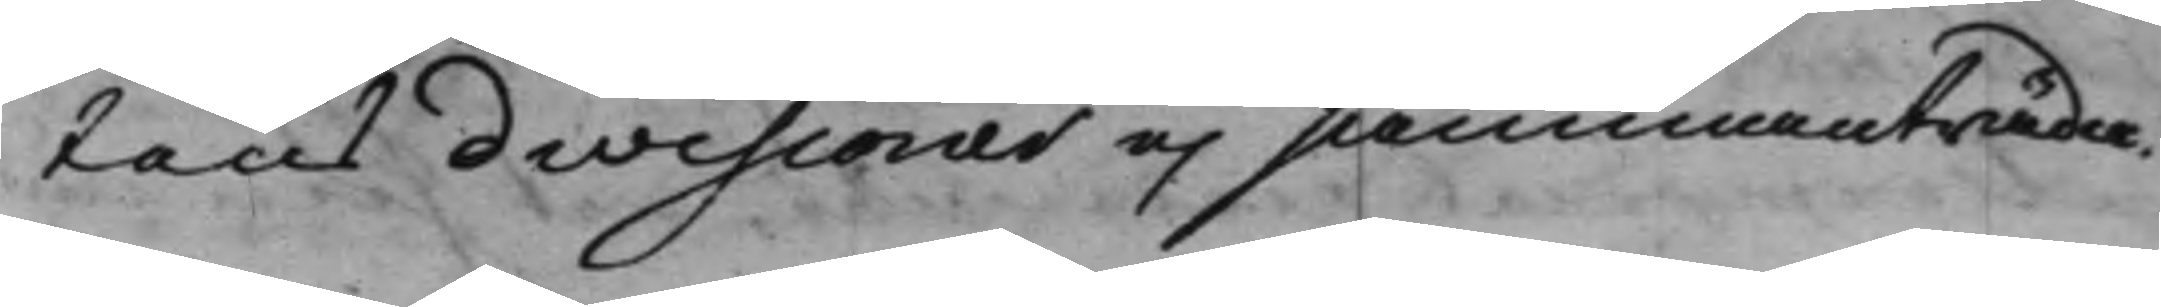tens divisioner ej sammanträd¬
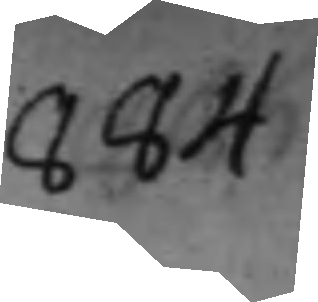684.
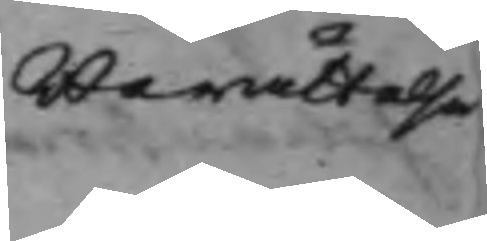berättelse 
